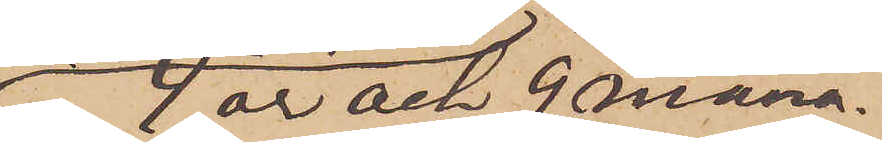4 år och 9 måna¬
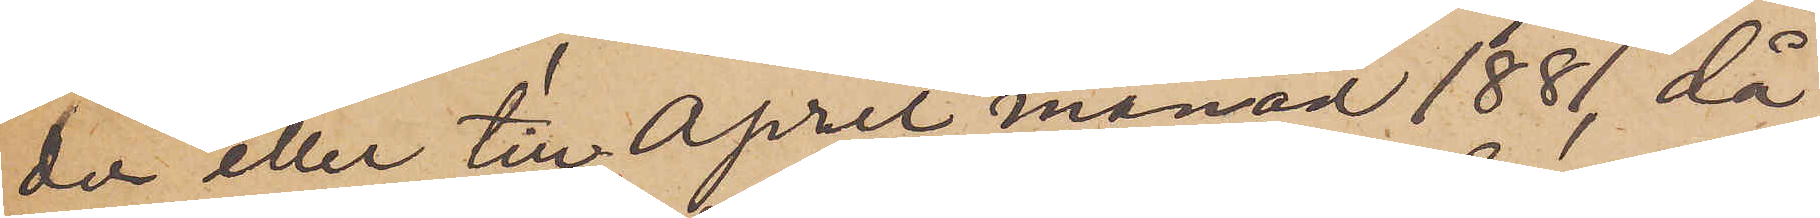der eller till April månad 1881, då
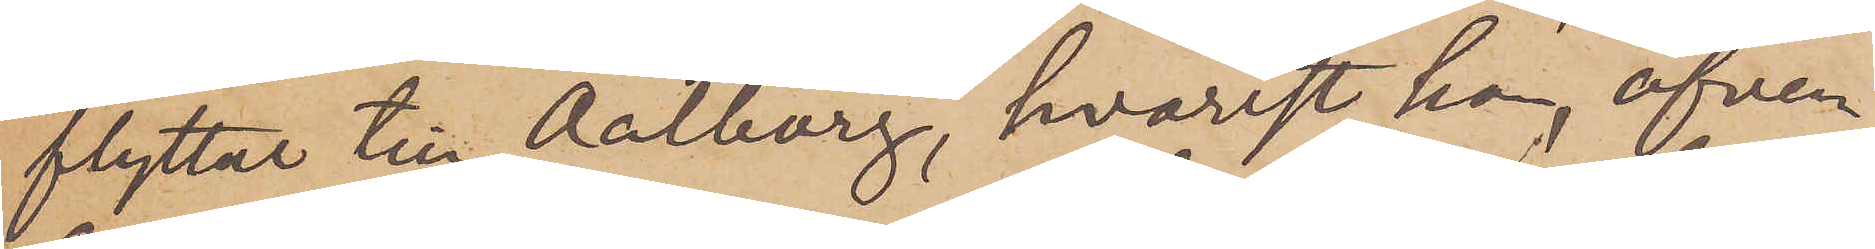flyttat till Aalborg, hvarest han, äfven¬
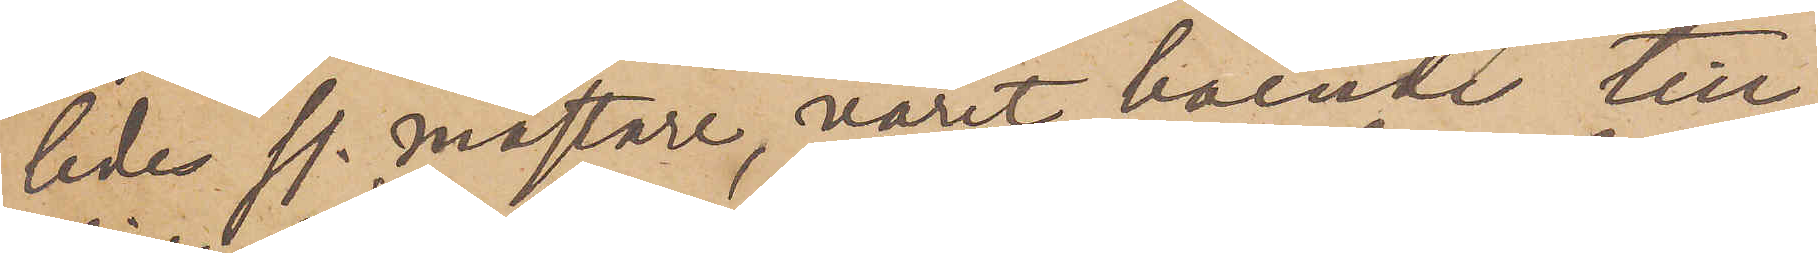ledes ss. mästare, varit boende till
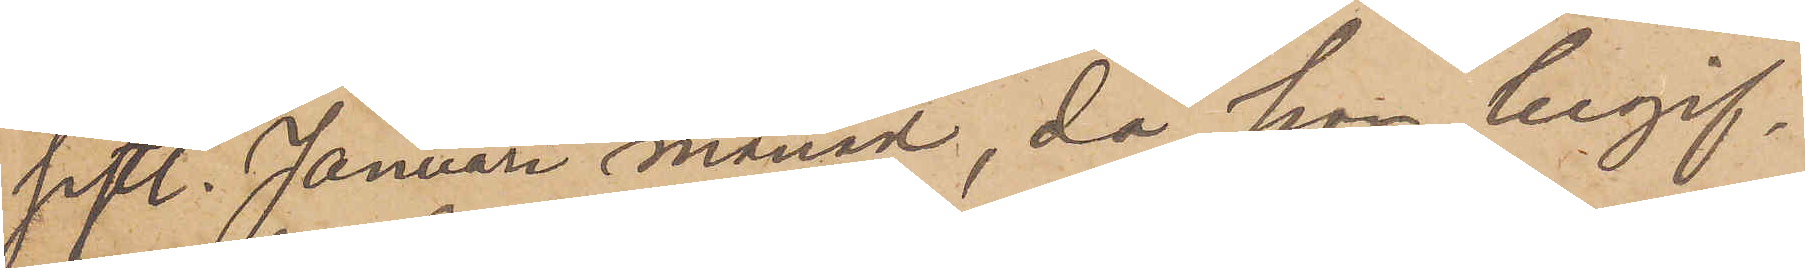sistl. Januari månad, då han begif¬
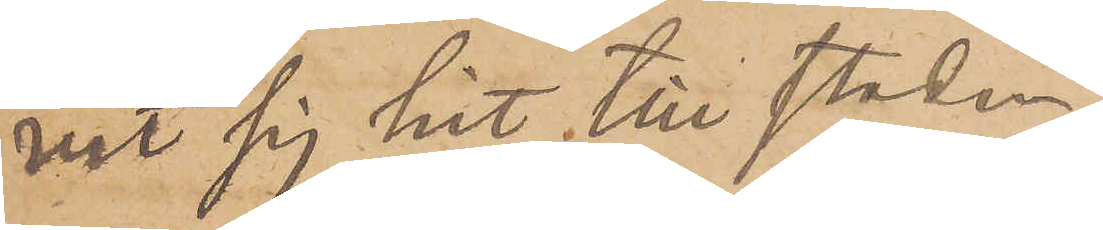vit sig hit till staden.
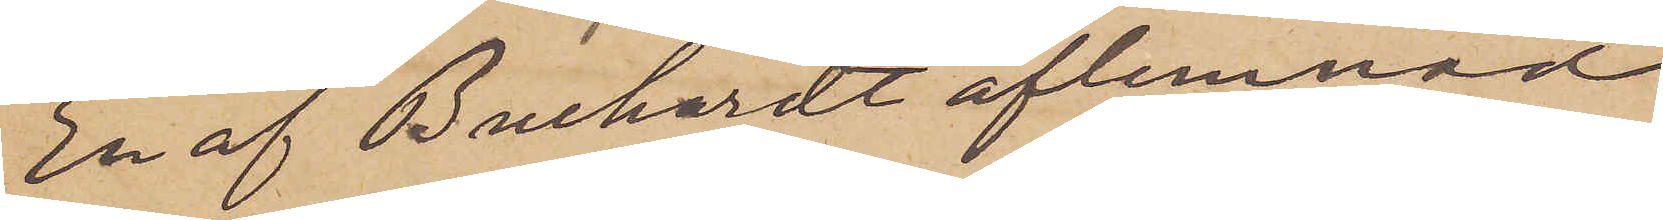En af Buchardt aflemnad
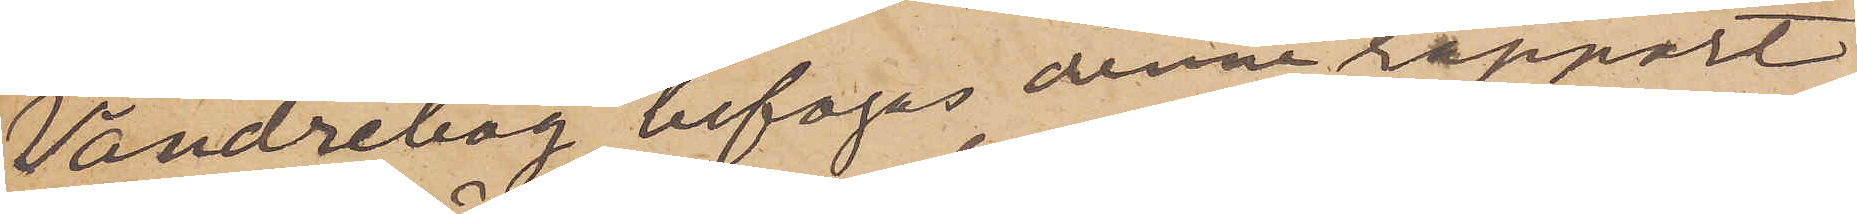"Vandrebog" bifogas denna rapport
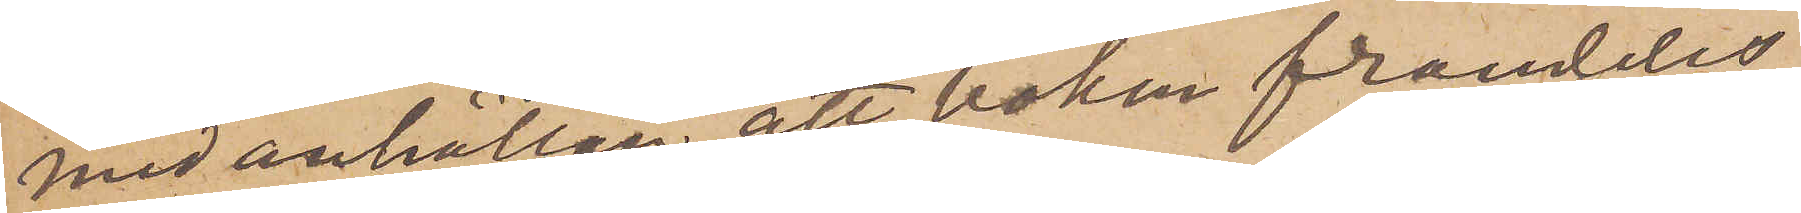med anhållan att boken framdeles
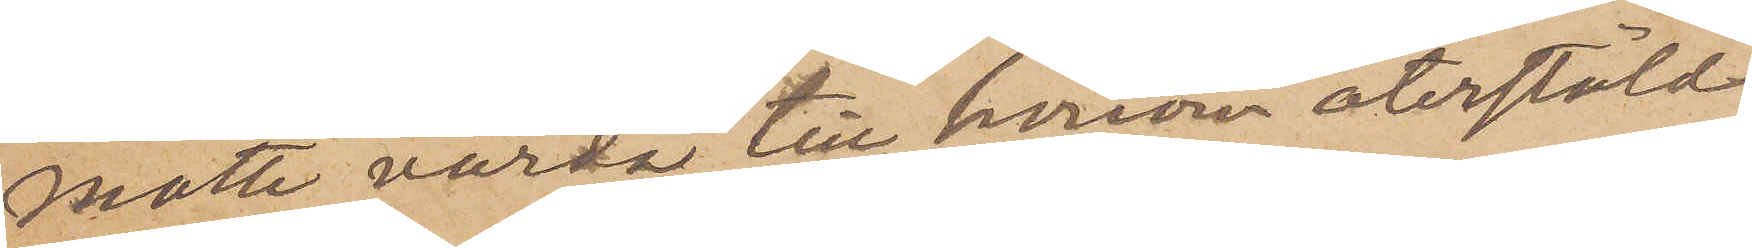måtte varda till honom återstäld.
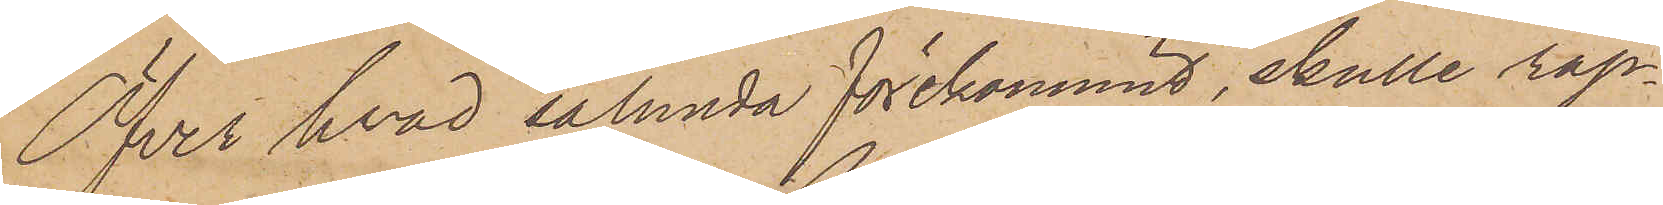Öfver hvad sålunda förekommit, skulle rap¬
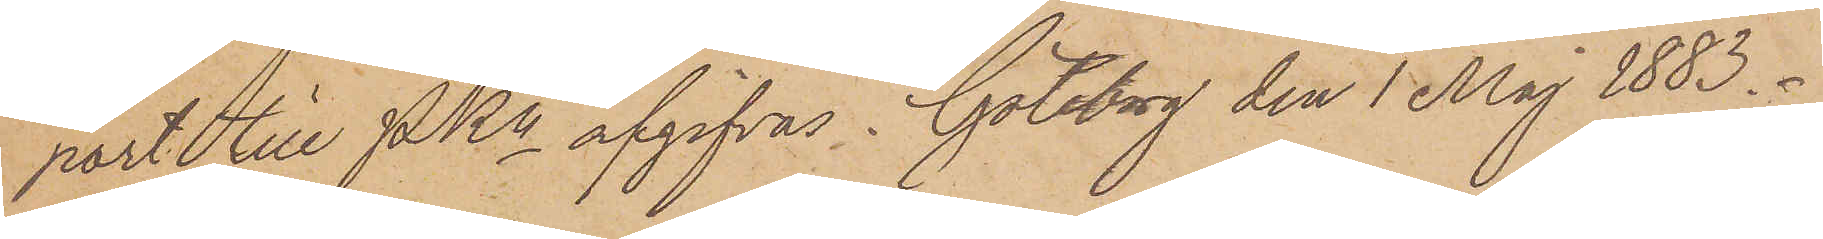port till PKn afgifvas. Göteborg den 1 Maj 1883.
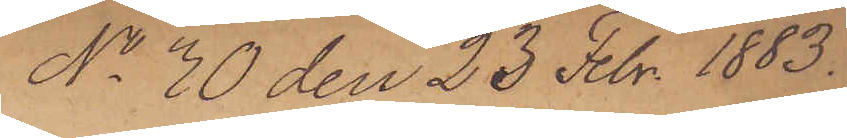No 30 den 23 Febr. 1883.
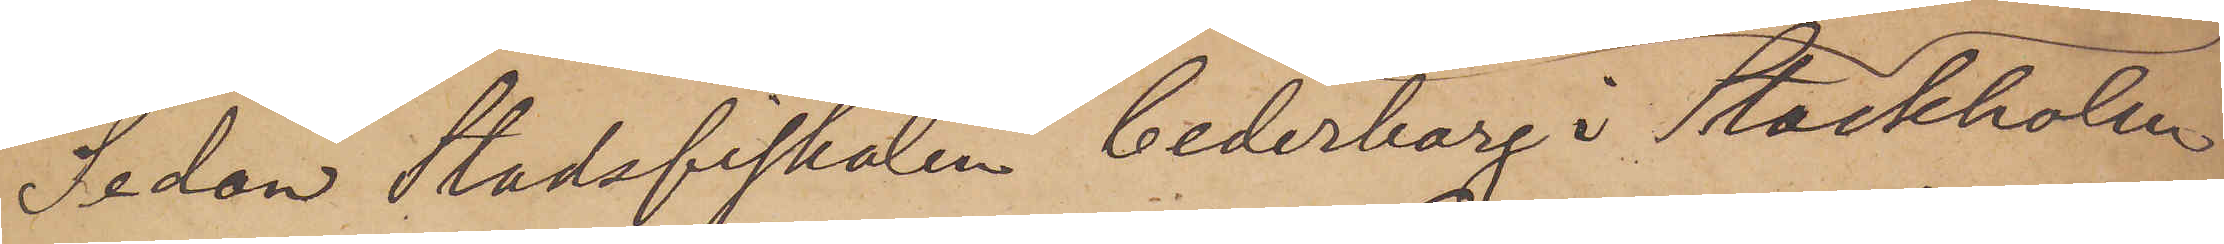Sedan Stadsfiskalen Cederborg i Stockholm
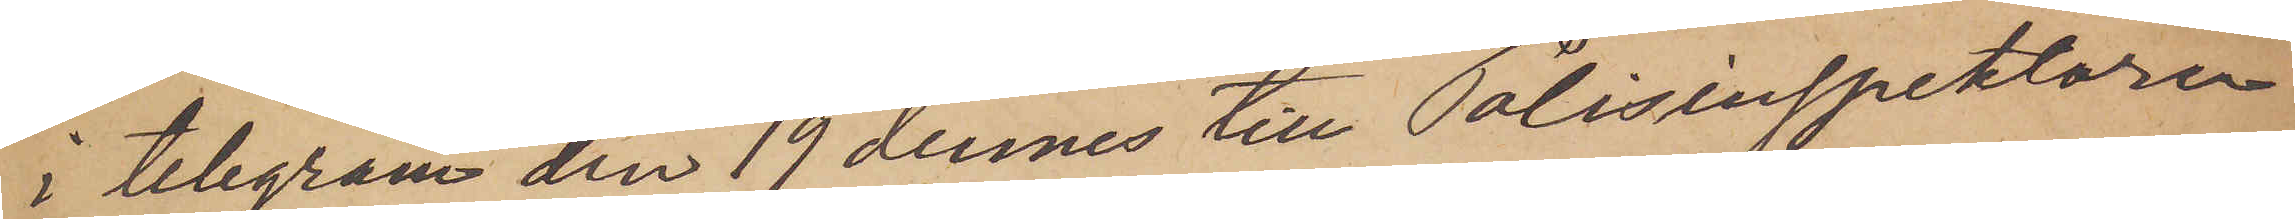i telegram den 19 dennes till Polisinspektoren
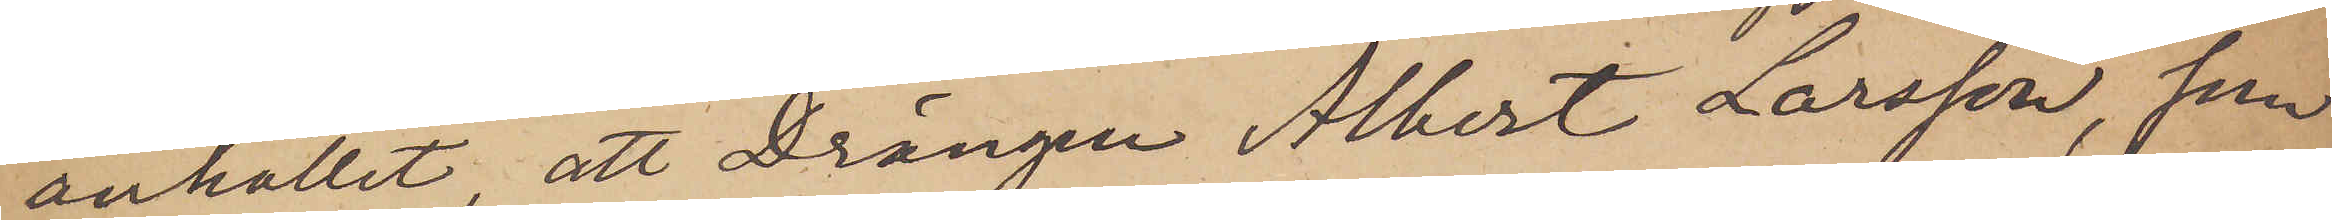anhållit att Drängen Albert Larsson, som
